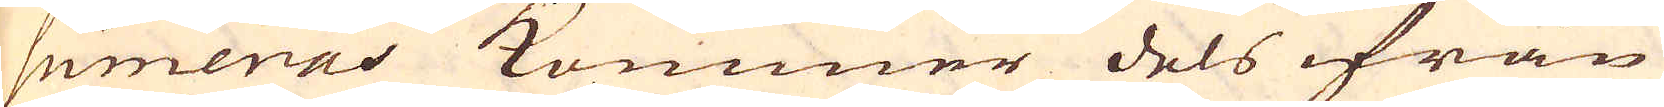sumeras kommer dels ifrån
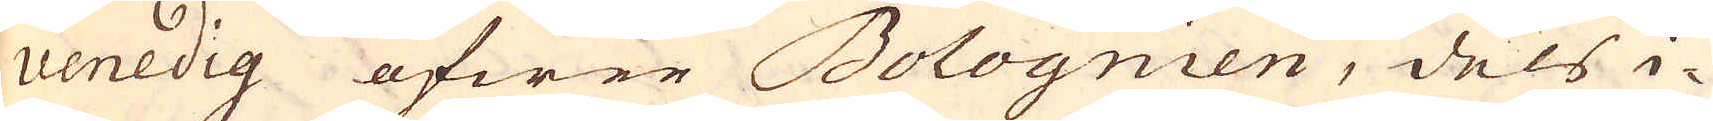Venedig öfwer Bolognien, dels i-
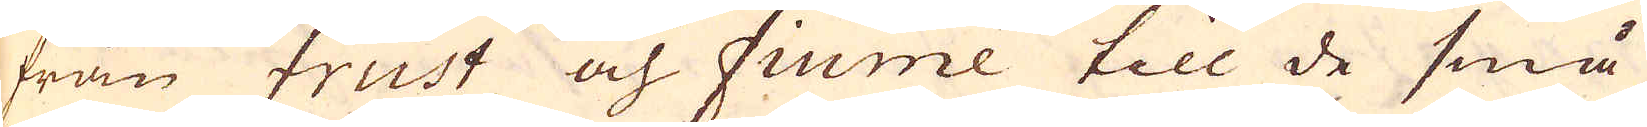från Frust och Fiume till de små
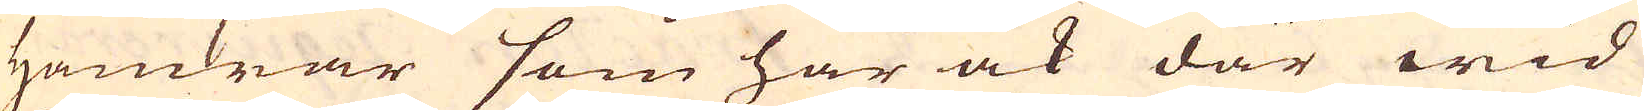Hamrar som här ock där wid
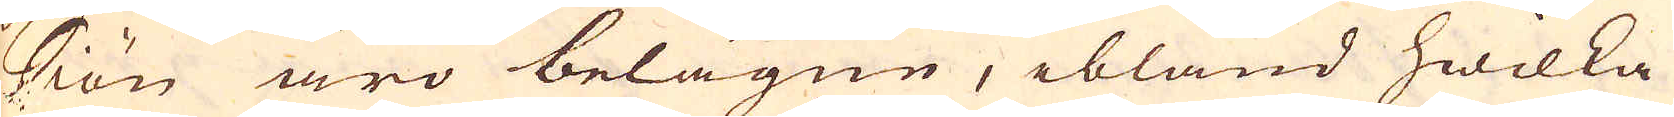Siön äro belägne, ibland hwilka
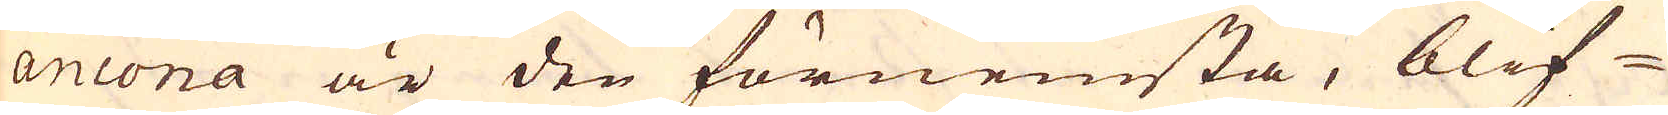Ancona är den förnemsta, blif-
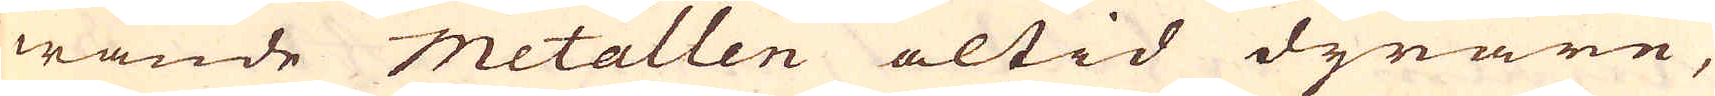wande metallen altid dyrare,
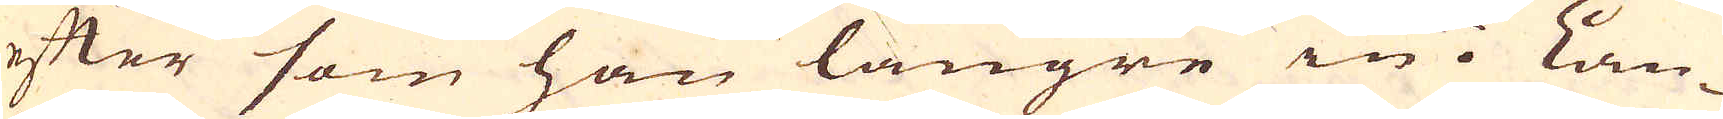efter som han längre in i Lan-
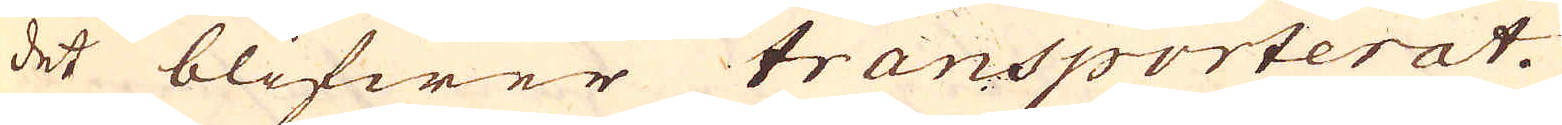det blifwer transporterat.
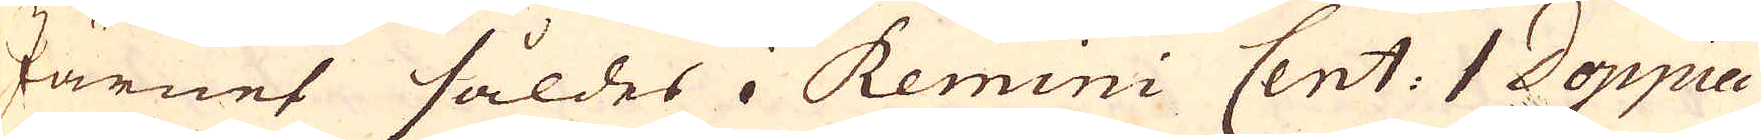Järnet såldes i Remini Cent: 1 Doppia
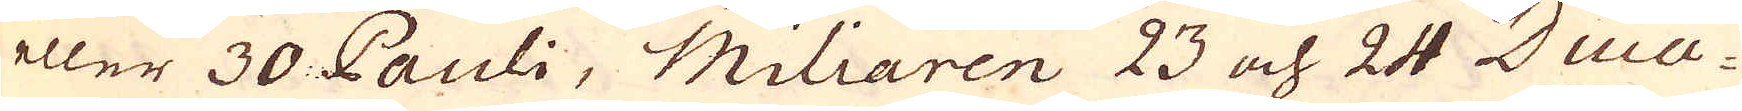eller 30 Pauli, Miliaren 23 och 24 Duca-
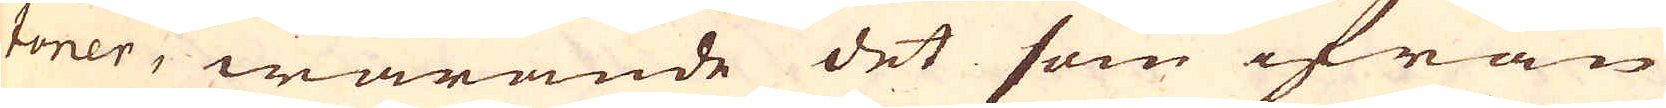toner, warande det som ifrån
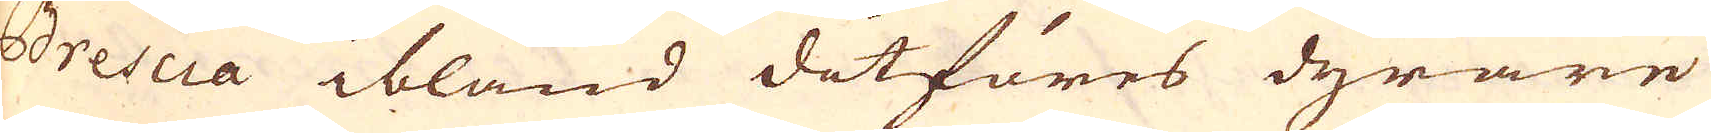Brescia ibland ditföres dyrare
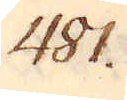481.
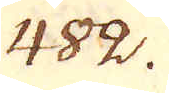482.
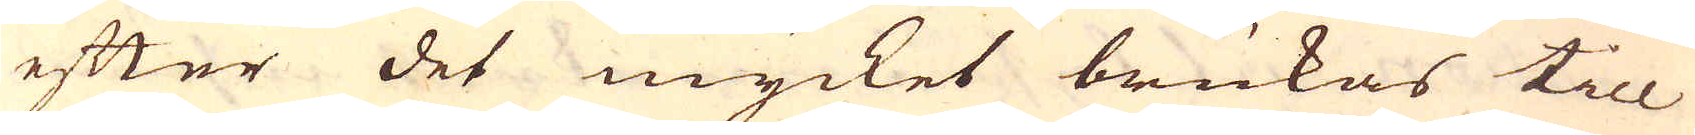efter det mycket brukas till
